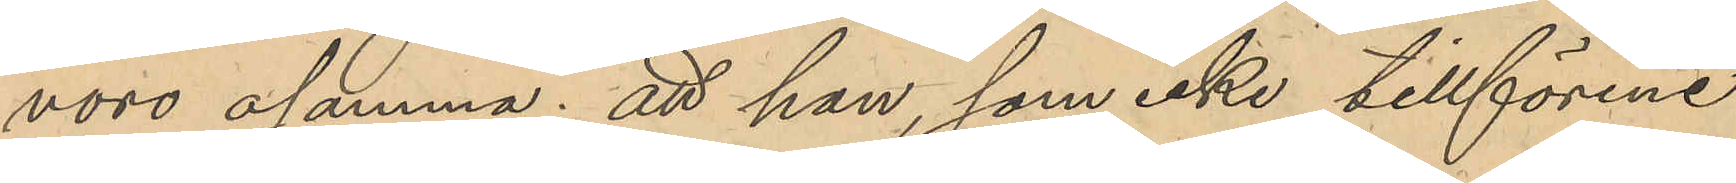voro osanna; att han, som icke tillförene
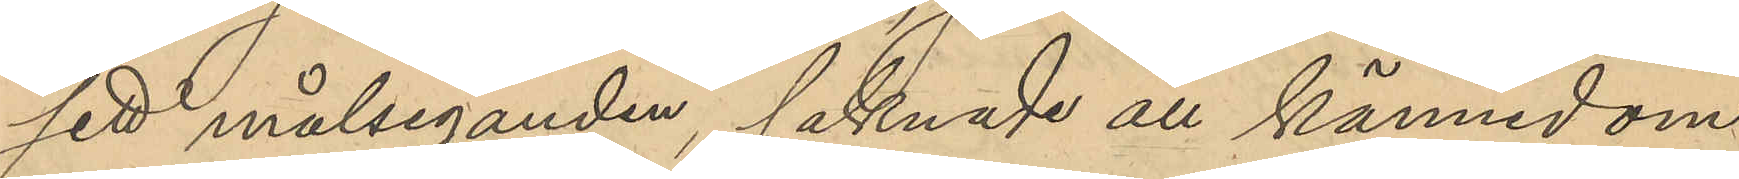sett målseganden, saknade all kännedom
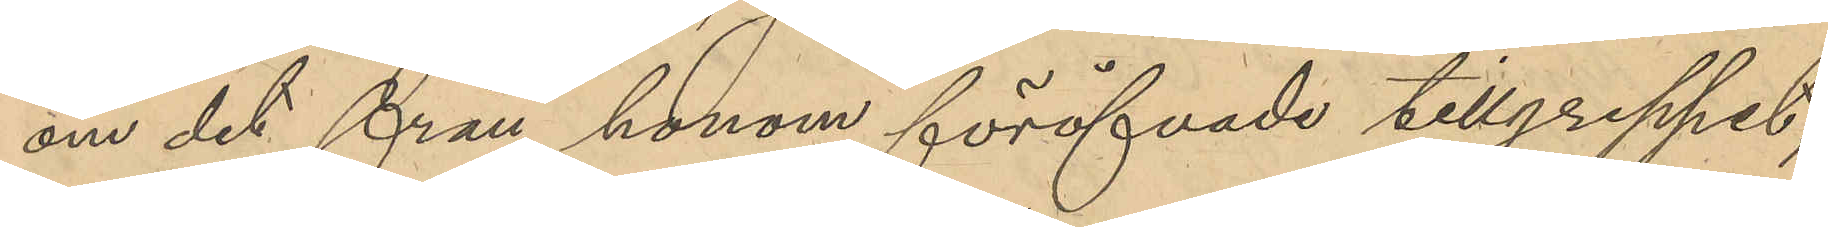om det från honom föröfvade tillgreppet;
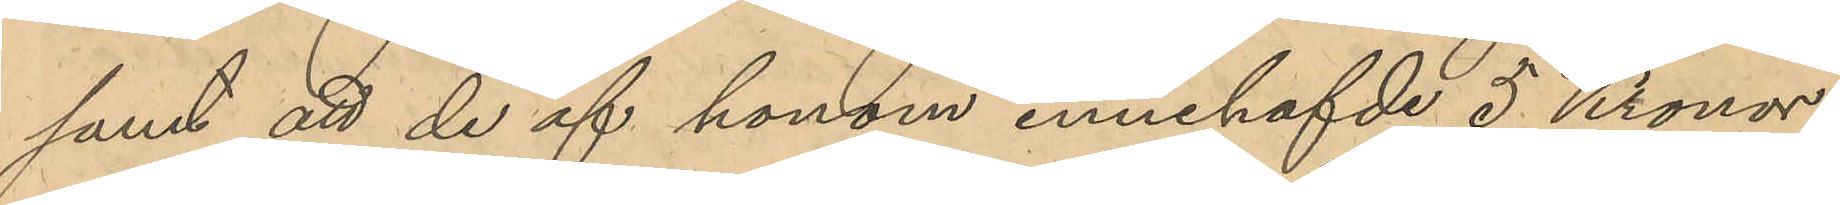samt att de af honom innehafde 5 Kronor
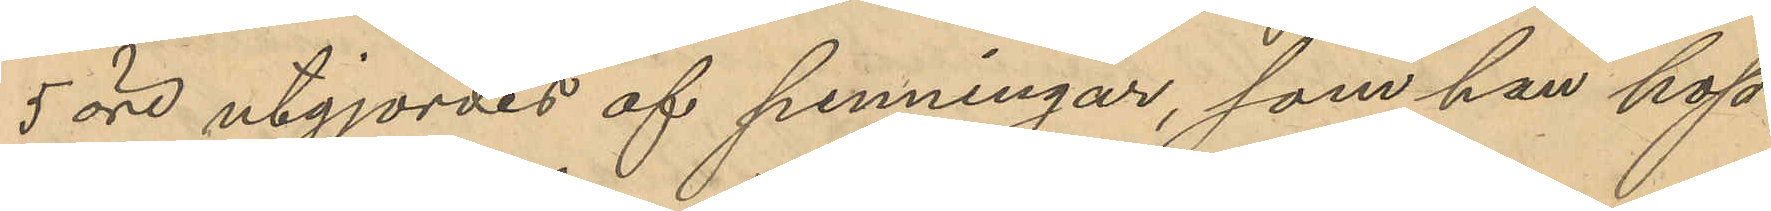5 öre utgjordes af penningar, som han hop¬
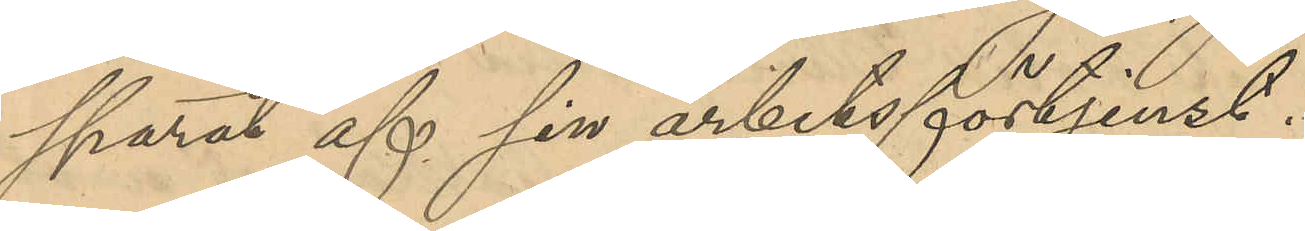sparat af sin arbetsförtjenst.
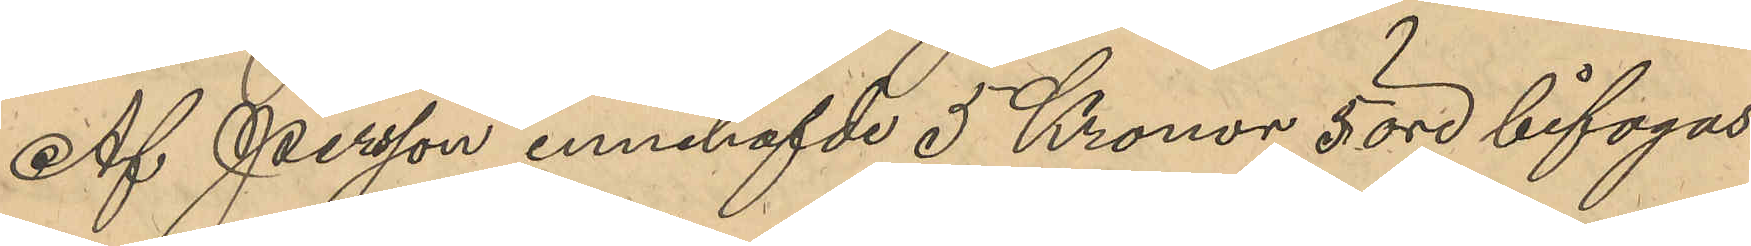Af Persson innehafvde 5 Kronor 5 öre bifogas.
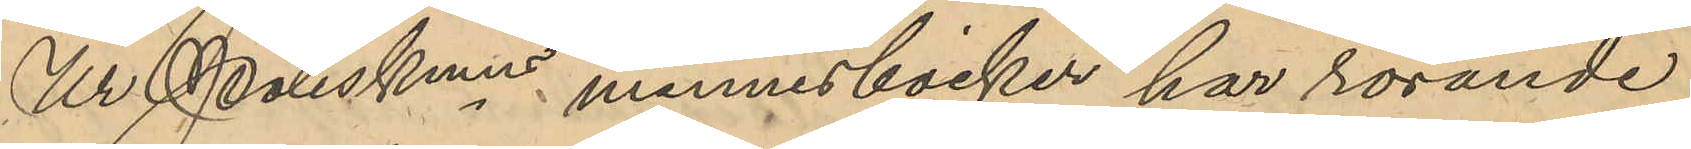Ur Poliskmns minnesböcker har rörande
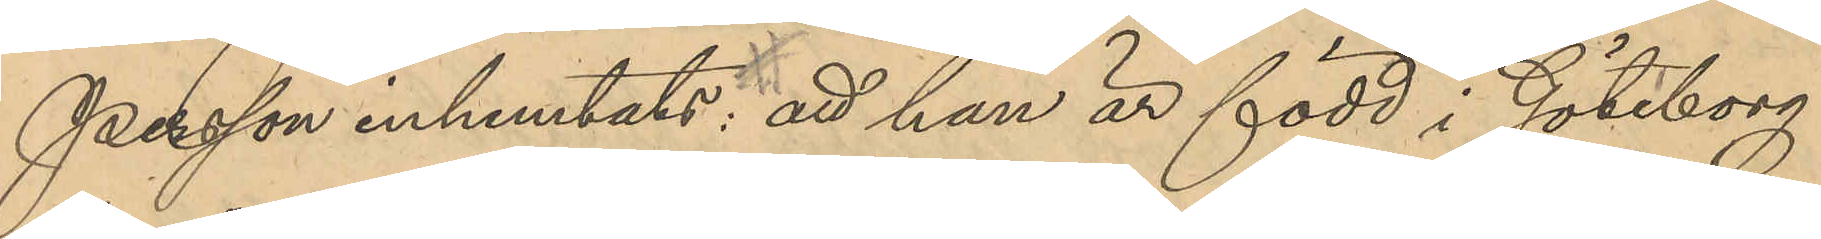Persson inhemtats: att han är född i Göteborg
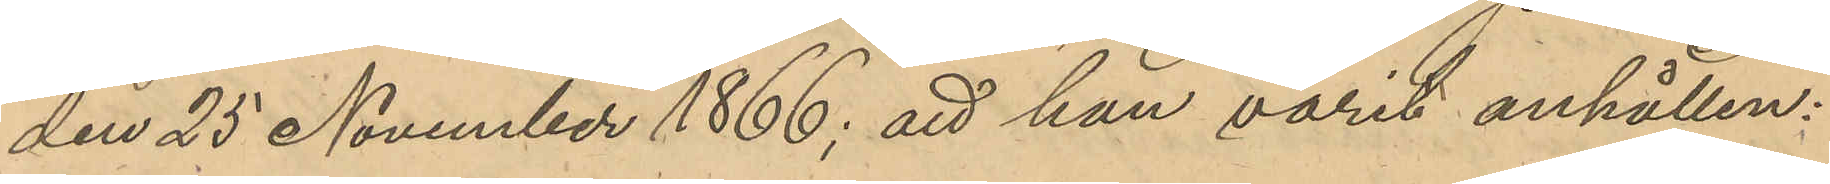den 25 November 1866; att han varit anhållen:
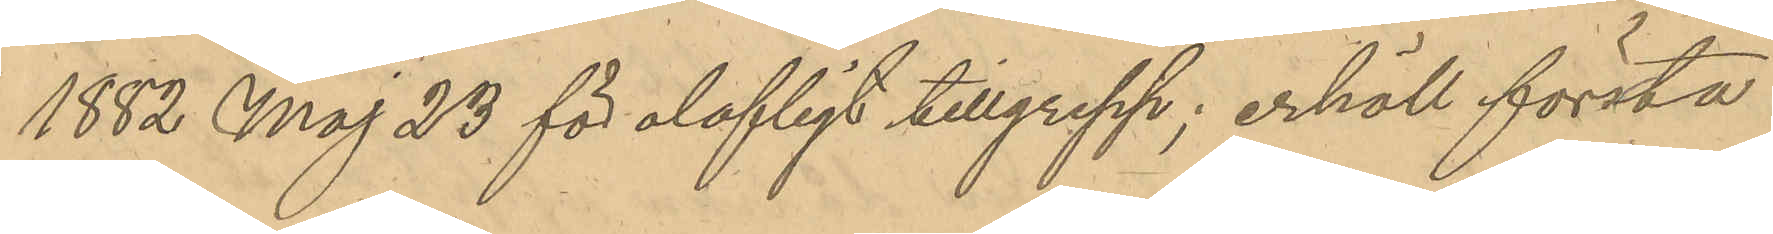1882 Maj 23 för olofligt tillgrepp; erhöll första
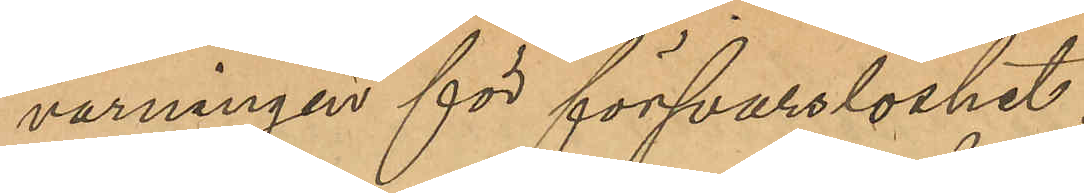varningen för försvarslöshet;
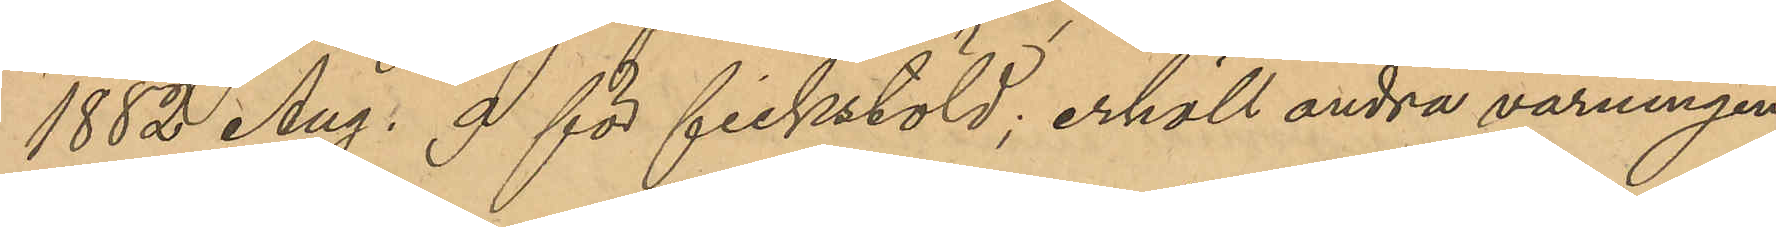1882 Aug. 9 för fickstöld, erhöll andra varningen;
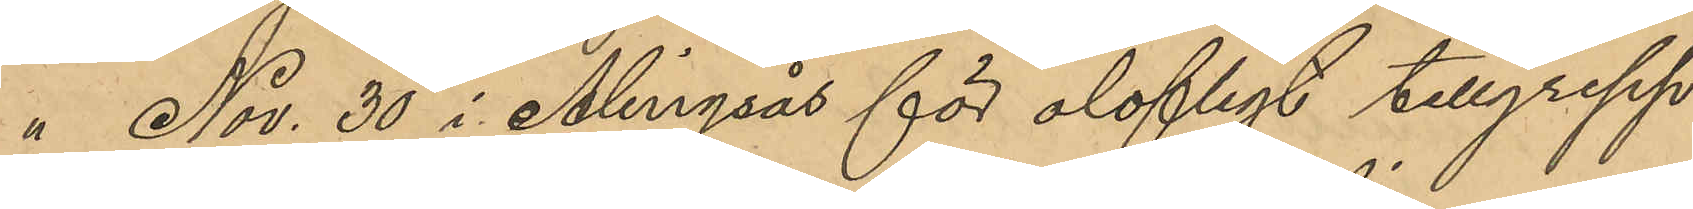" Nov. 30 i Alingsås för olofligt tillgrepp
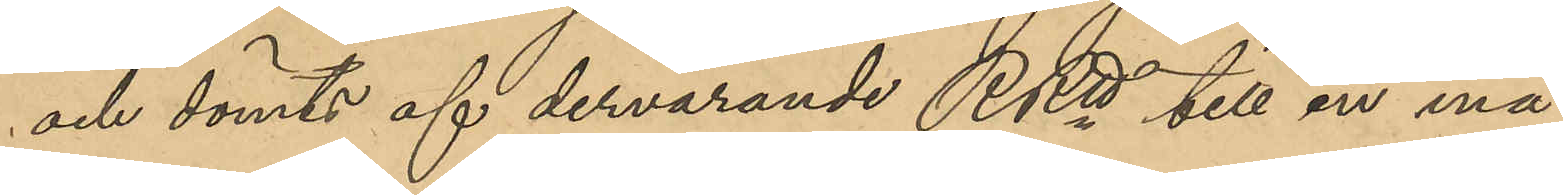och dömts af dervarande RRtt till en må¬
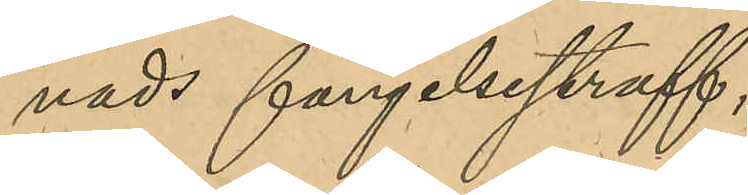nads fängelsestraff;
